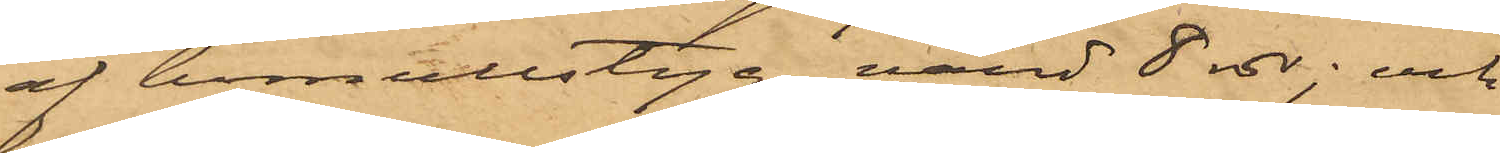af bomullstyg, värd 8 rdr; och
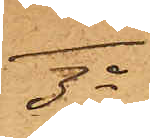3o
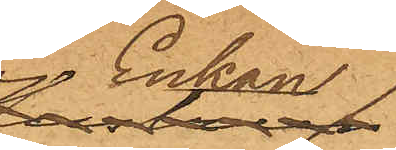Enkan
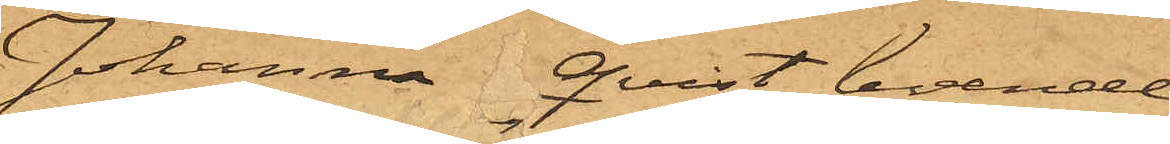Johanna Qvist, boende
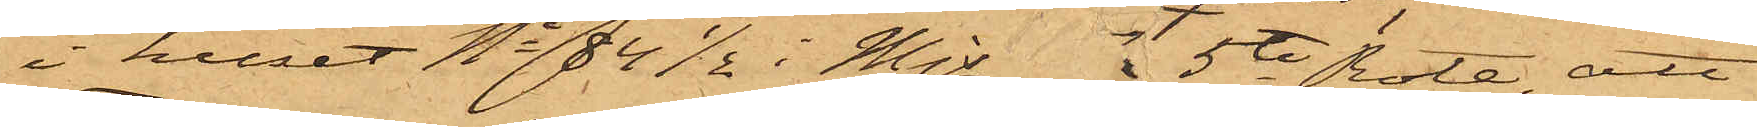i huset No 84½ i Mjs 5te Rote, att
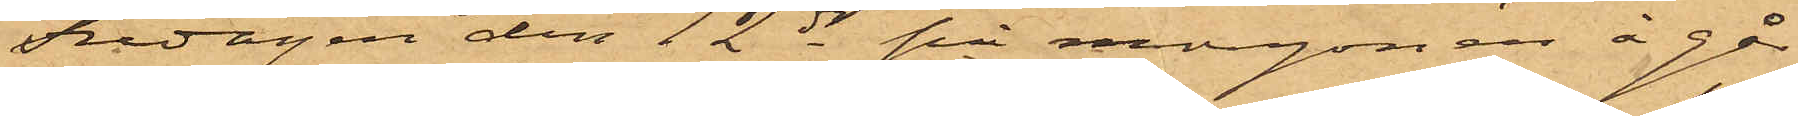Fredagen den 12 ds på morgonen å går¬
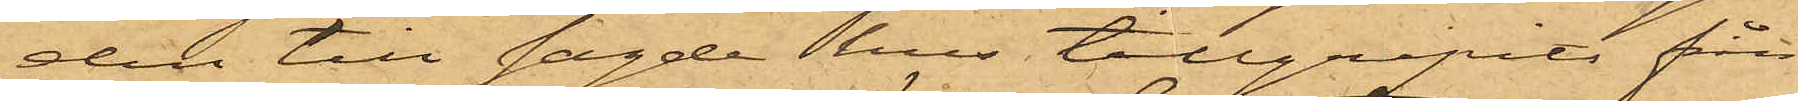den till sagde hus tillgripits från
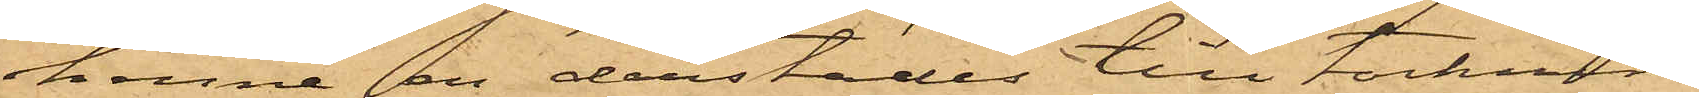henne en derstädes till torkning
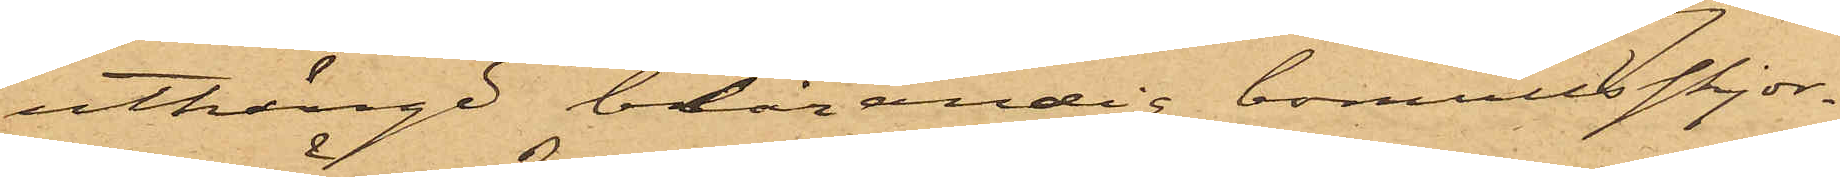uthängd blårandig bomullsskjor¬
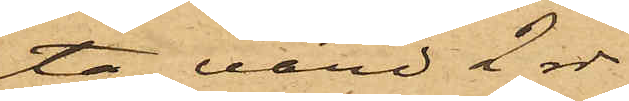ta, värd 2 rdr.
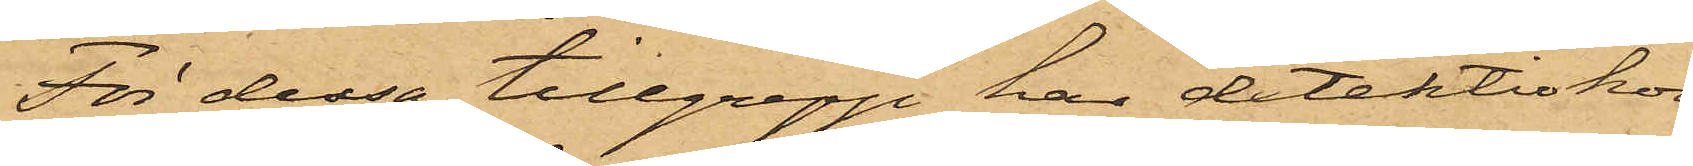För dessa tillgrepp har detektivkon¬
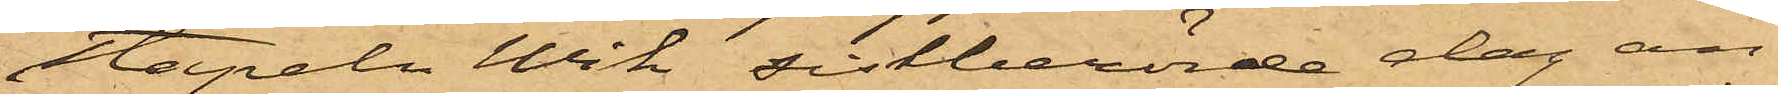stapeln Wik sistberörde dag an¬
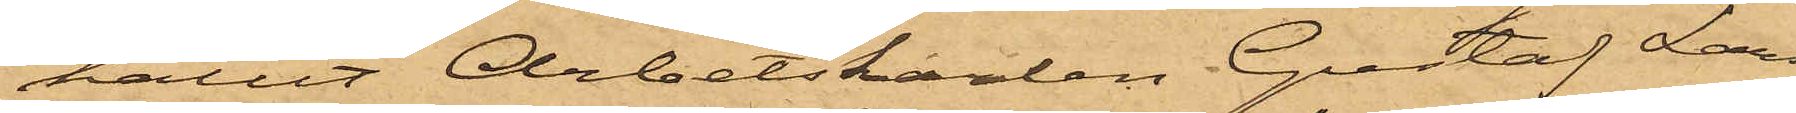hållit Arbetskarlen Gustaf Lar¬
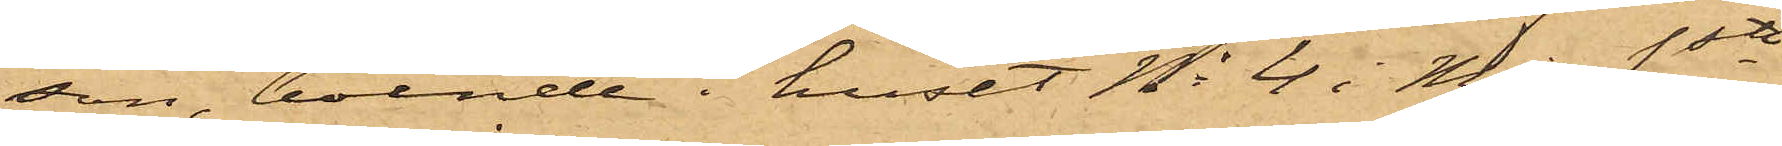son, boende i huset No 4 i Mjs 1sta 
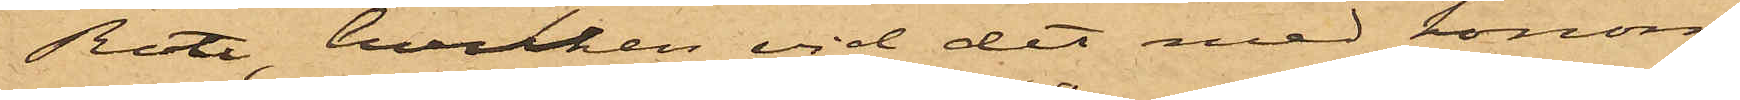Rote, hvilken vid det med honom
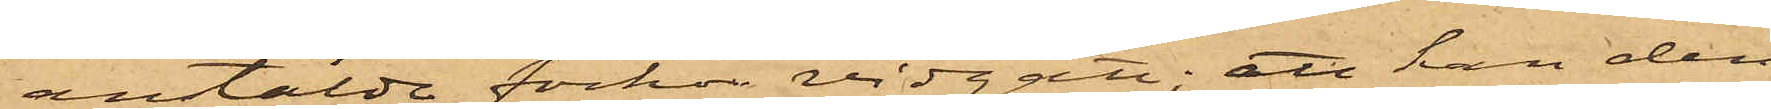anstälde förhör vidgått, att han den
